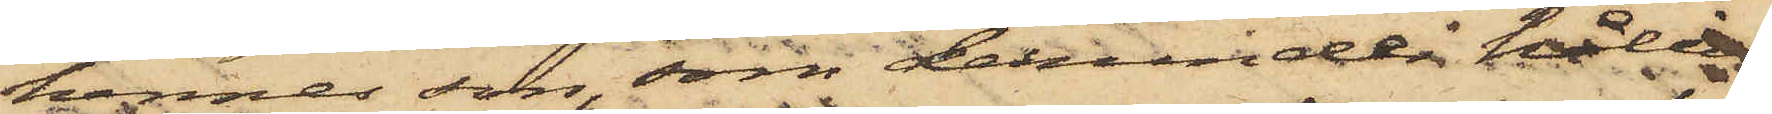hennes son, som derunder hållit
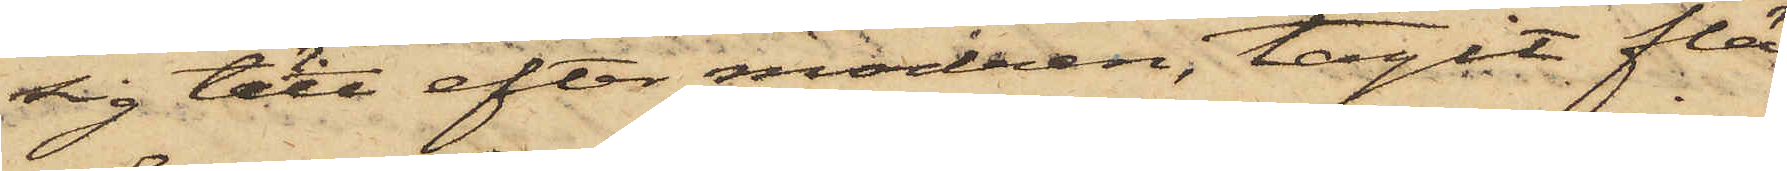sig tätt efter modren, tagit flä¬
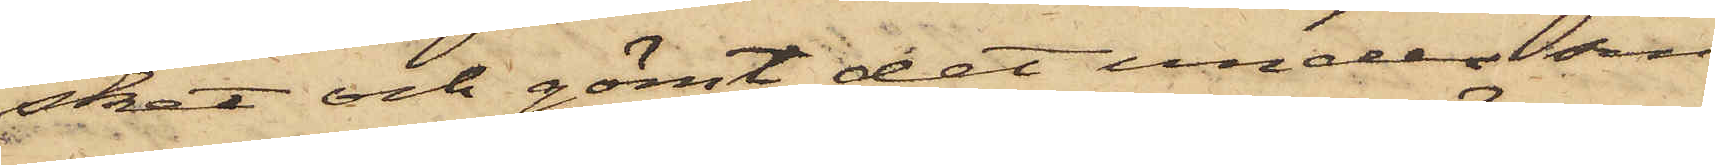sket och gömt det under sin
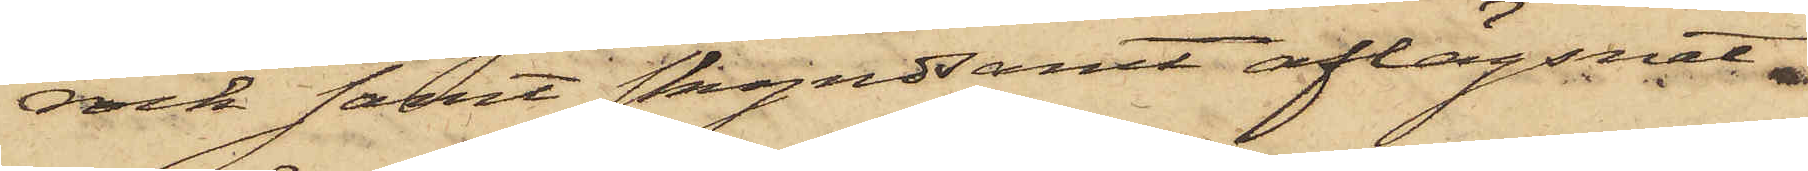rock samt skyndsamt aflägsnat
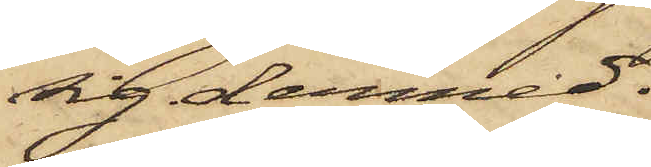sig därmed.
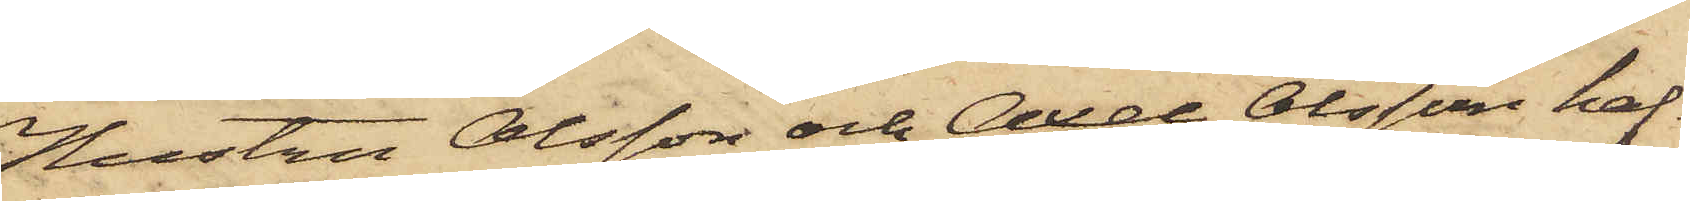Hustru Olsson och Axel Olsson haf¬
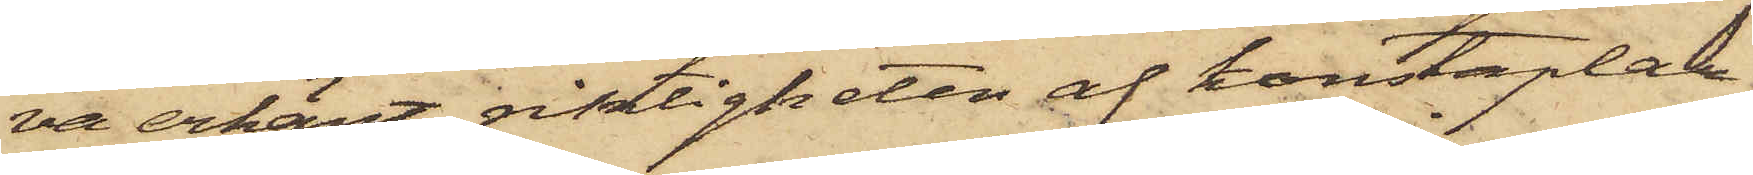va erkänt riktigheten af konstaplar¬
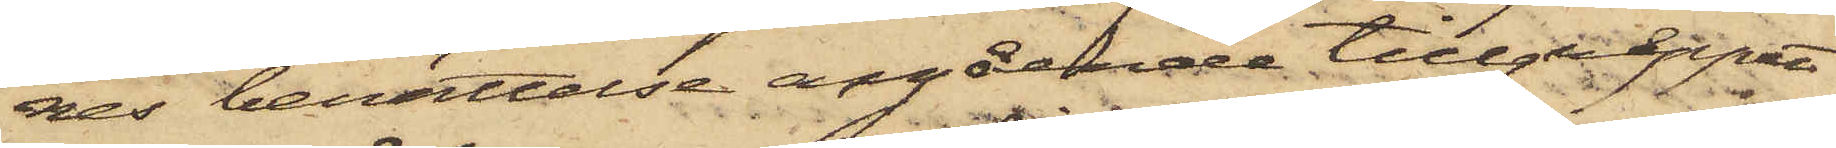nes berättelse angående tillgreppet
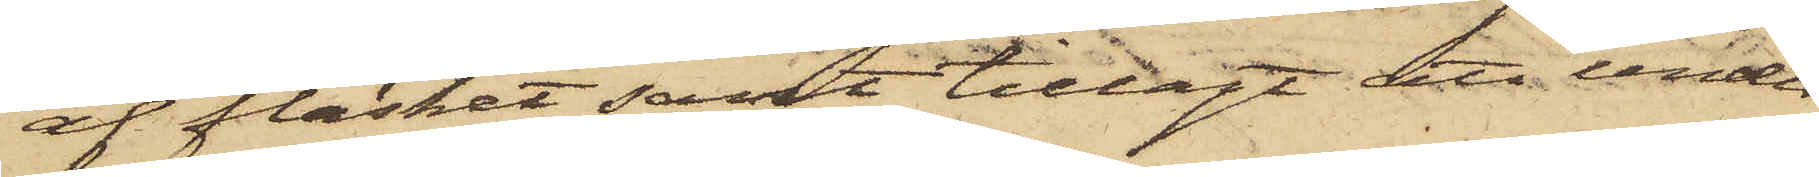af fläsket samt tillagt att under
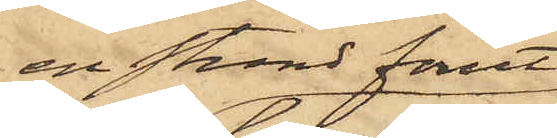en stund förut
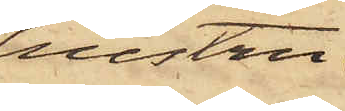hustru
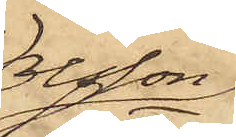Olsson
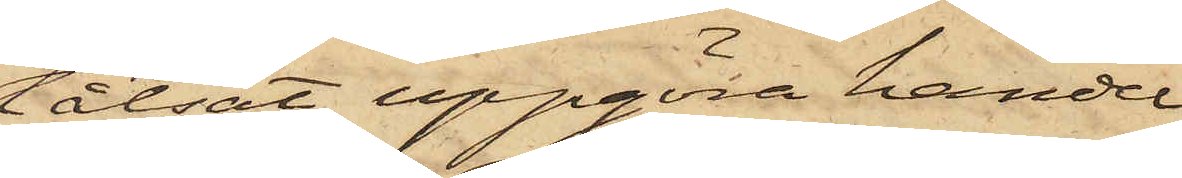låtsat uppgöra handel
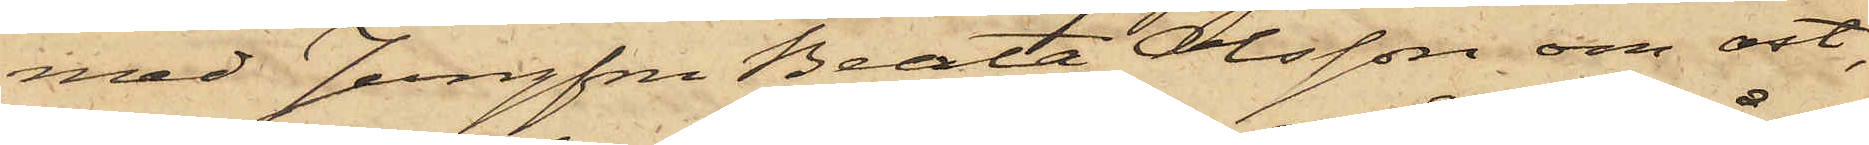med Jungfru Beata Olsson om ost,
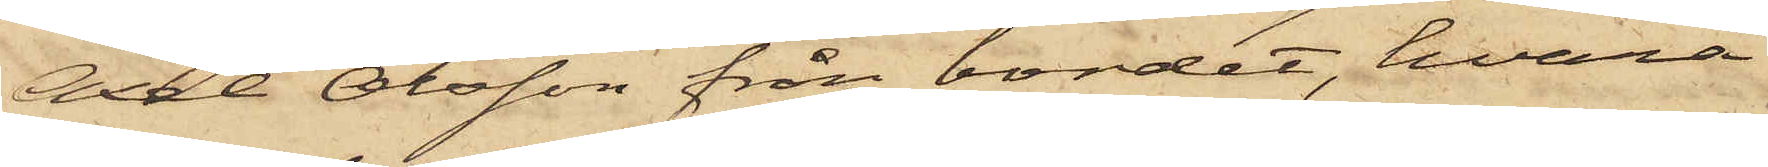Axel Olsson från bordet, hvarå
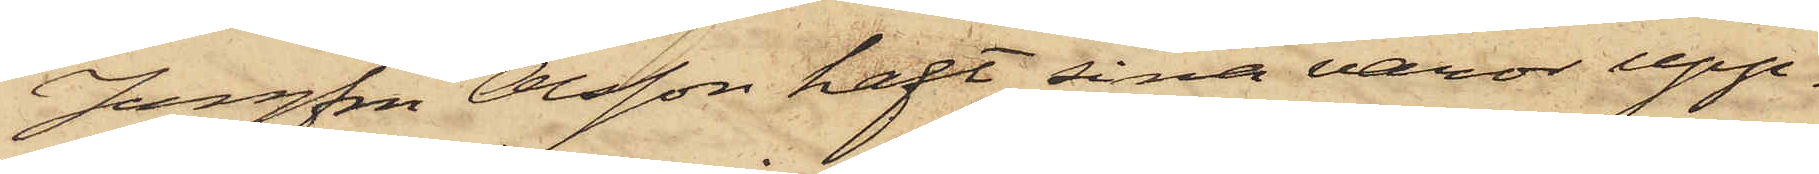Jungfru Olsson haft sina varor upp¬
